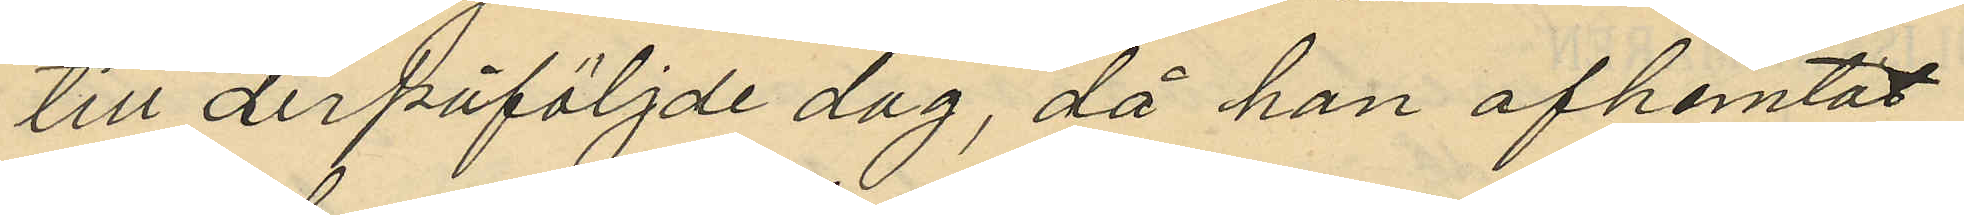till derpåföljde dag, då han afhemtat
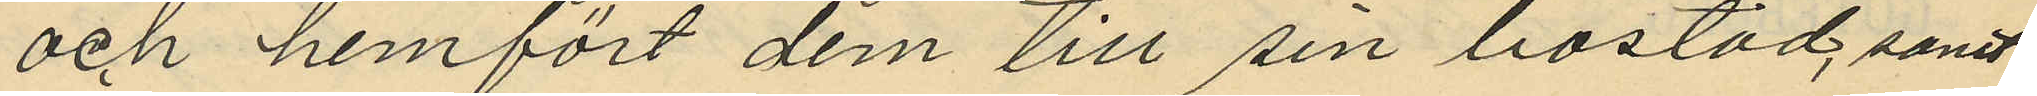och hemfört dem till sin bostad, samt
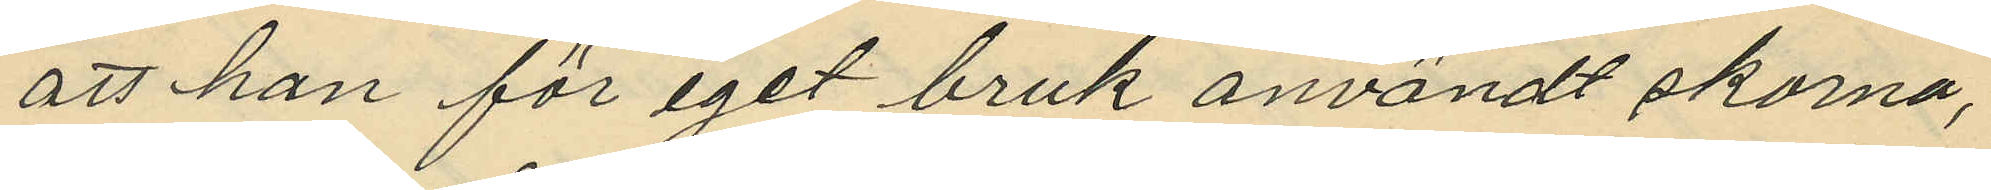att han för eget bruk användt skorna,
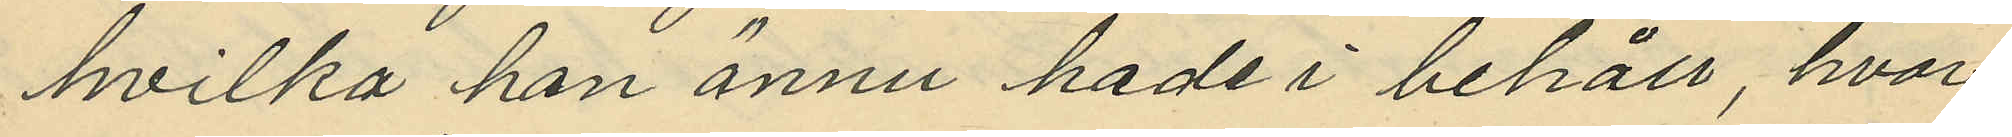hvilka han ännu hade i behåll, hvar¬
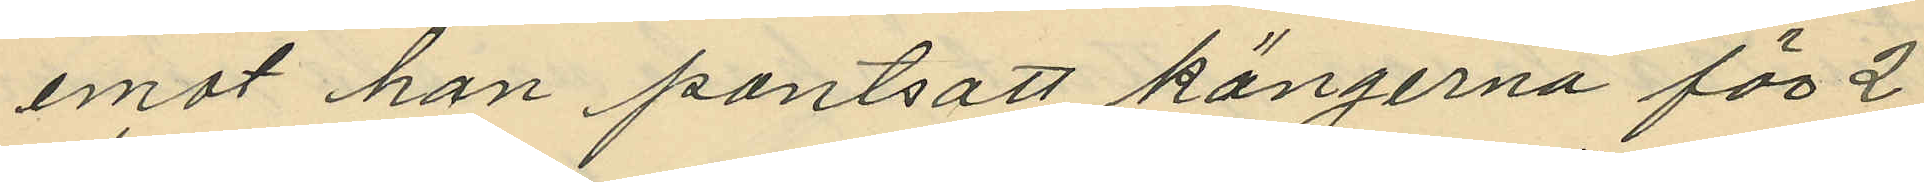emot han pantsatt kängerna för 2
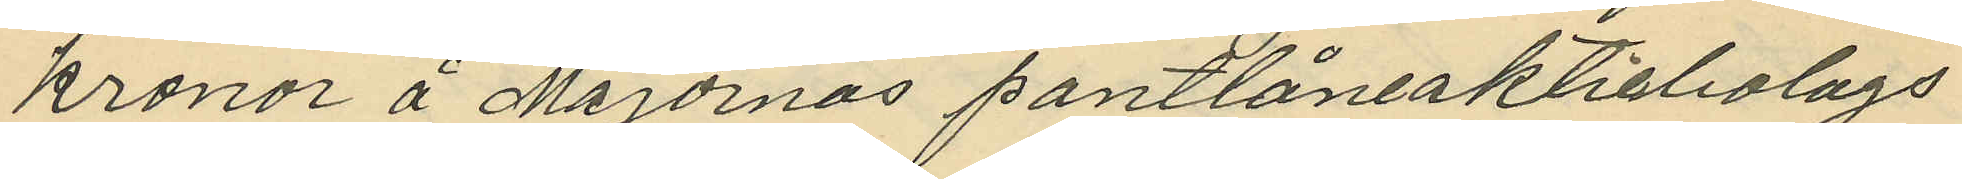kronor å Majornas pantlåneaktiebolags
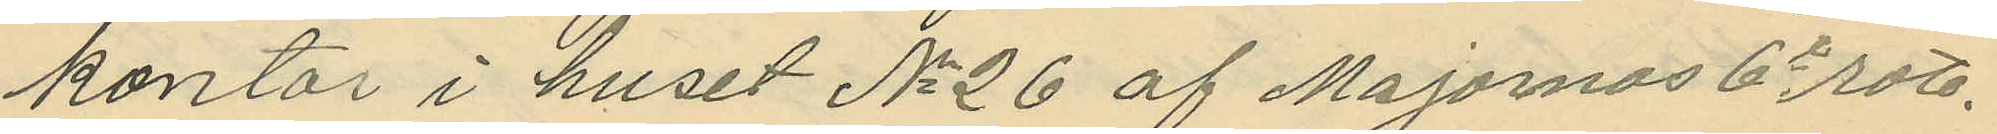kontor i huset No 26 af Majornas 6e rote.
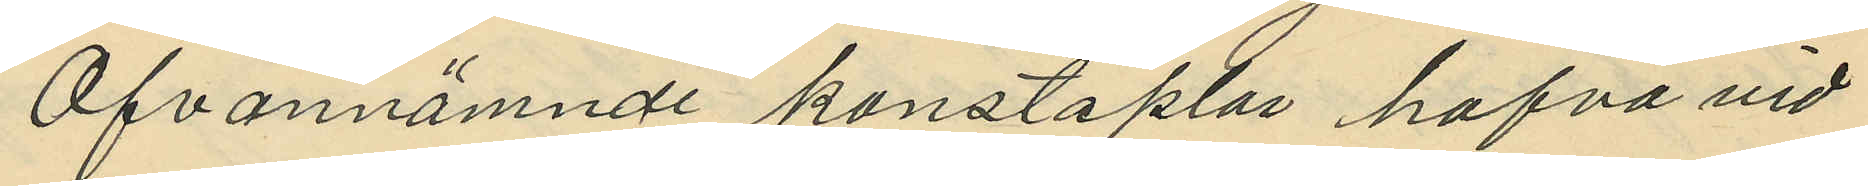Ofvannämnde konstaplar hafva vid
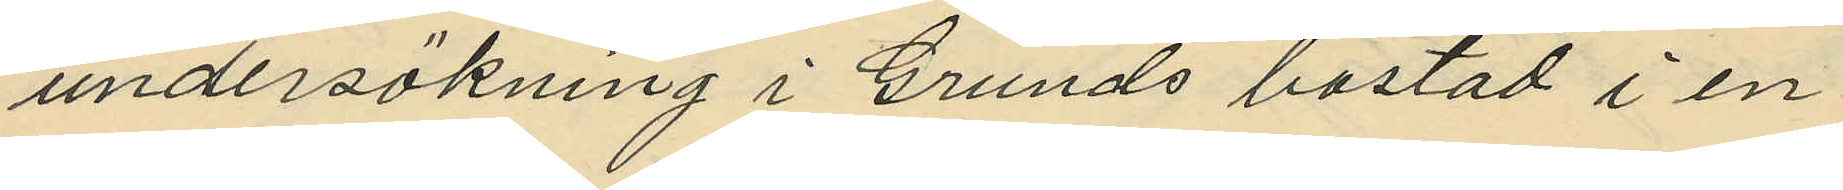undersökning i Grunds bostad i en
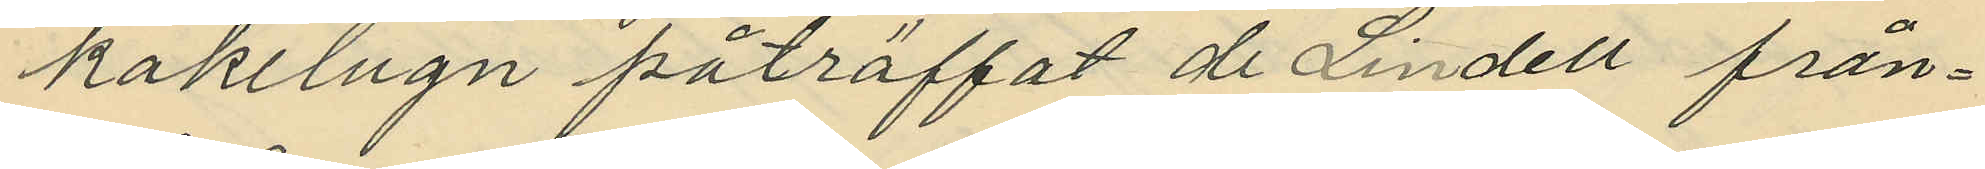kakelugn påträffat de Lindell från¬
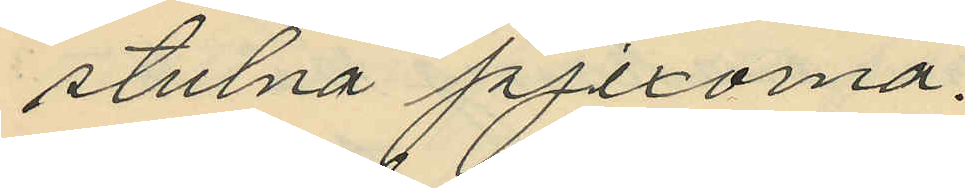stulna pjexorna.
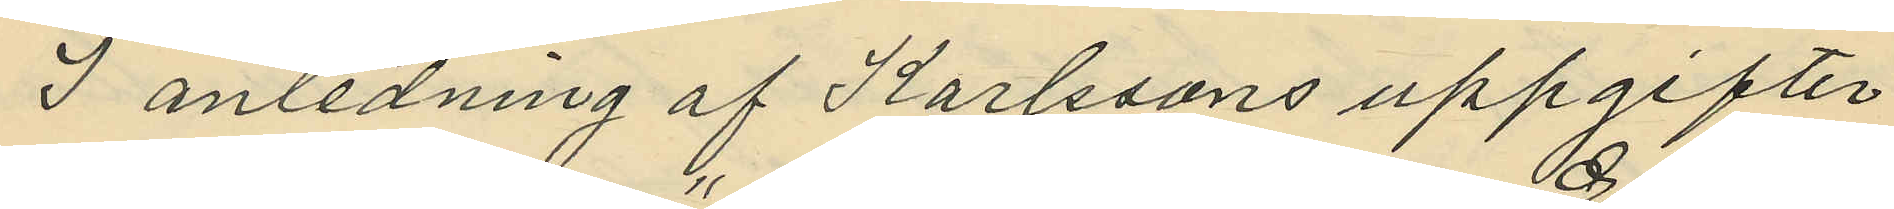I anledning af Karlssons uppgifter
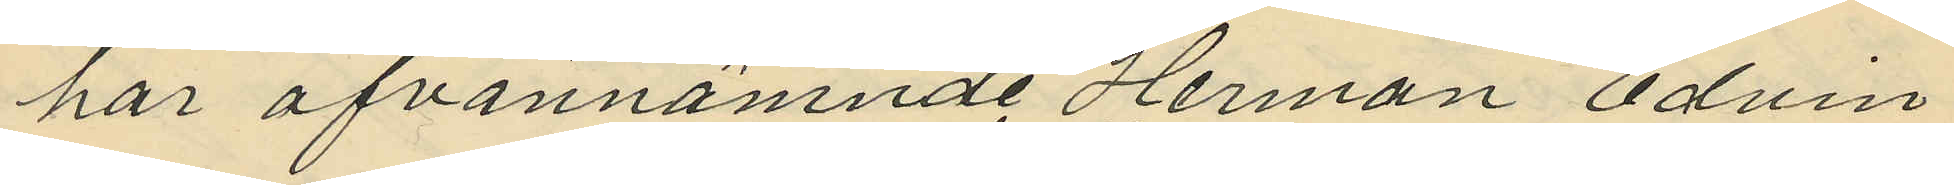har ofvannämnde Herman Edvin
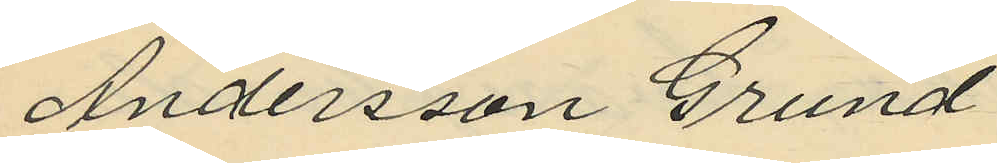Andersson Grund
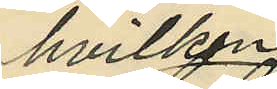hvilken
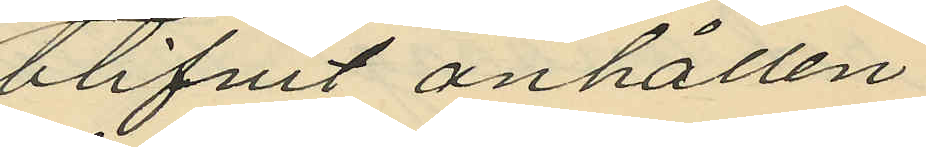blifvit anhållen
